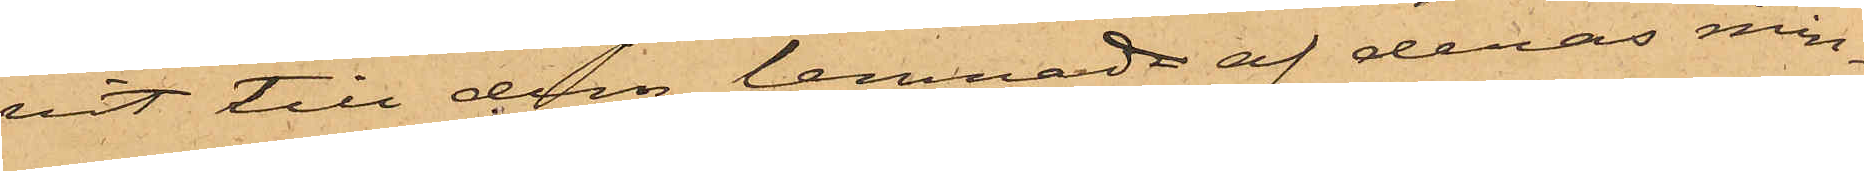vit till dem lemnad af deras min¬
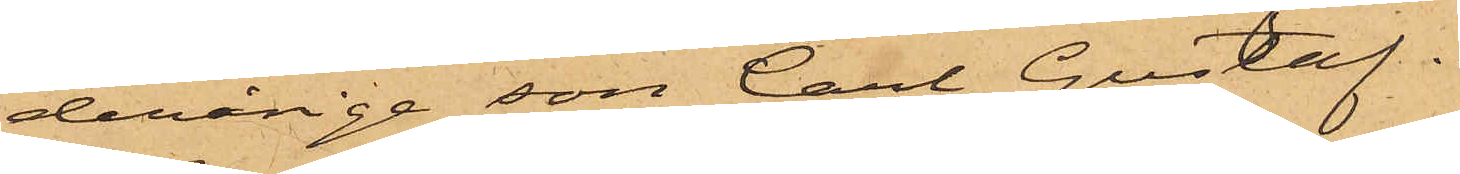derårige son Carl Gustaf.
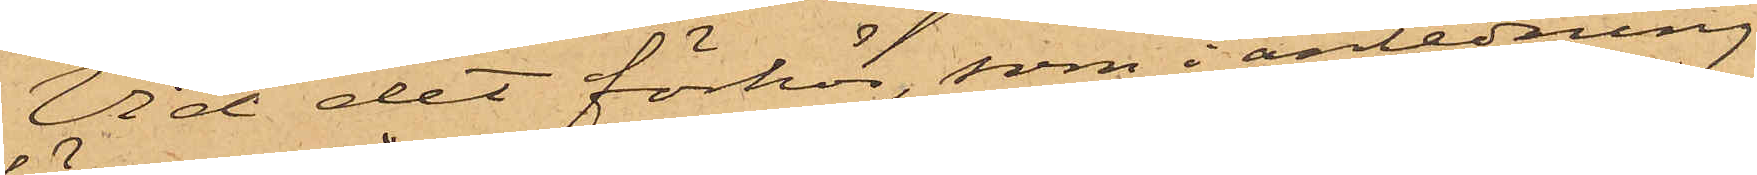Vid det förhör, som i anledning
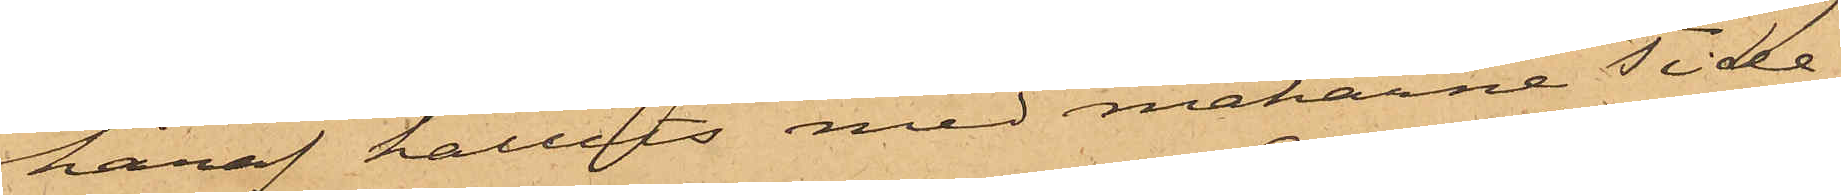häraf hållits med makarne Tide¬
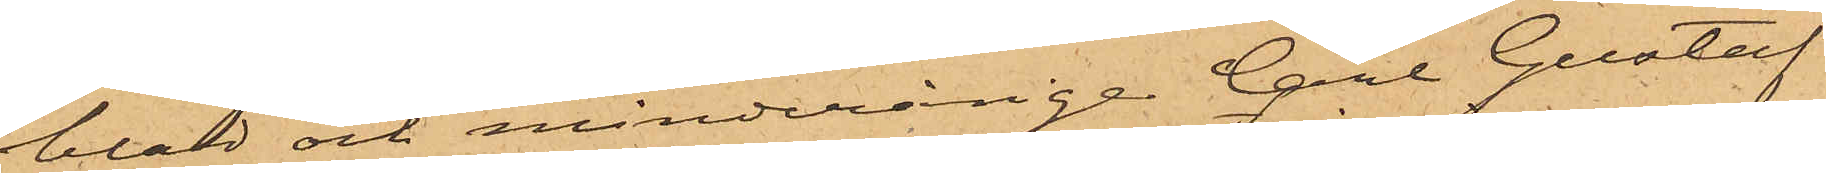blad och minderårige Carl Gustaf
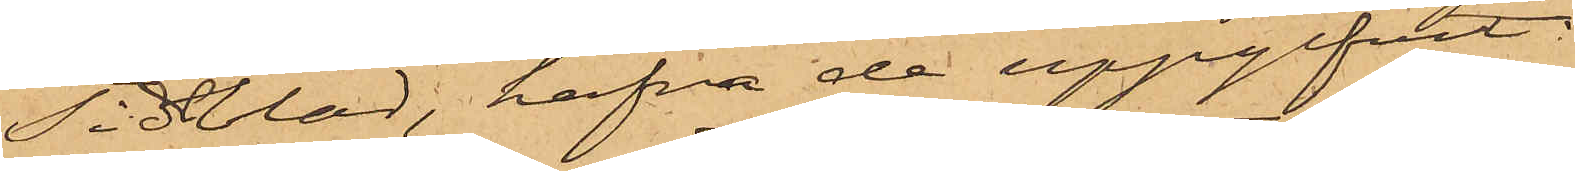Tidblad, hafva de uppgifvit
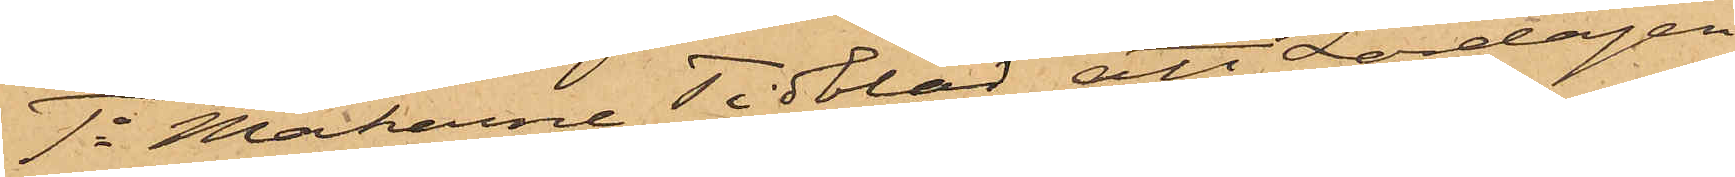1o Makarne Tidblad att Lördagen
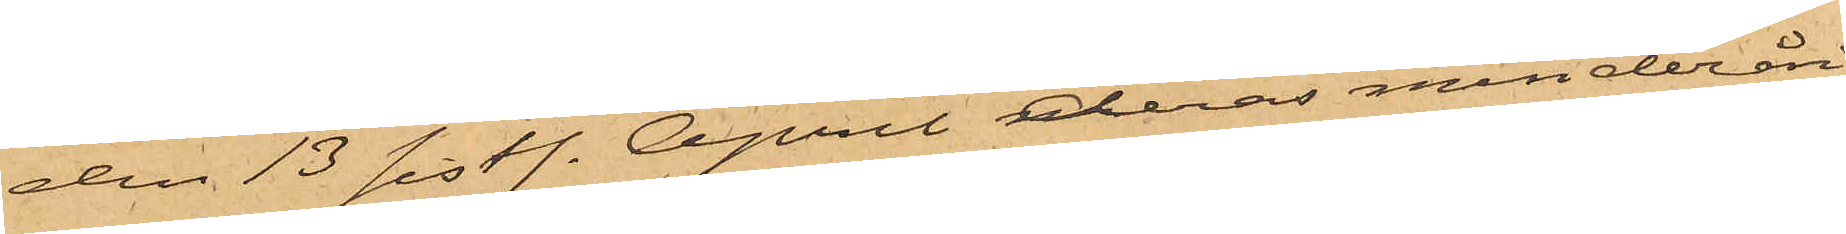den 13 sistl. April deras minderåri¬
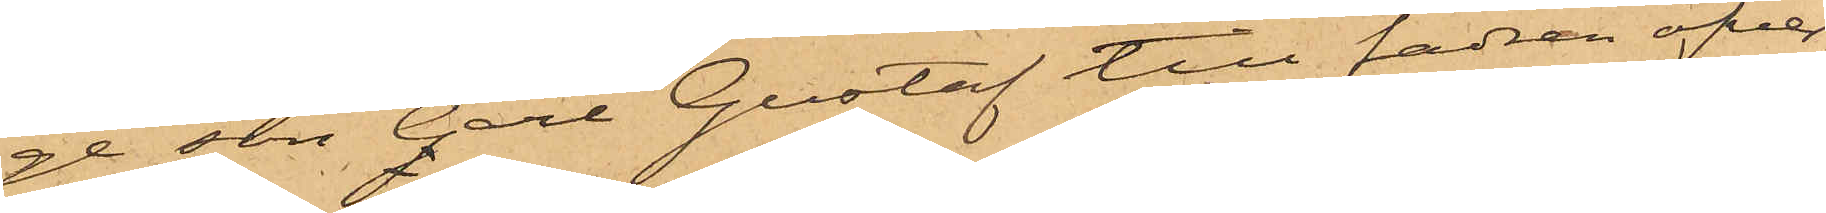ge son Carl Gustaf till fadren öfver¬
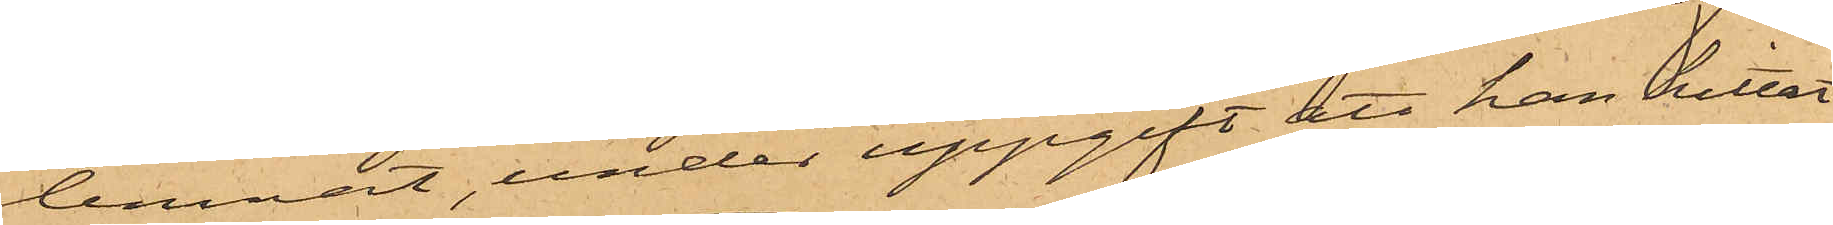lemnat, under uppgift att han hittat
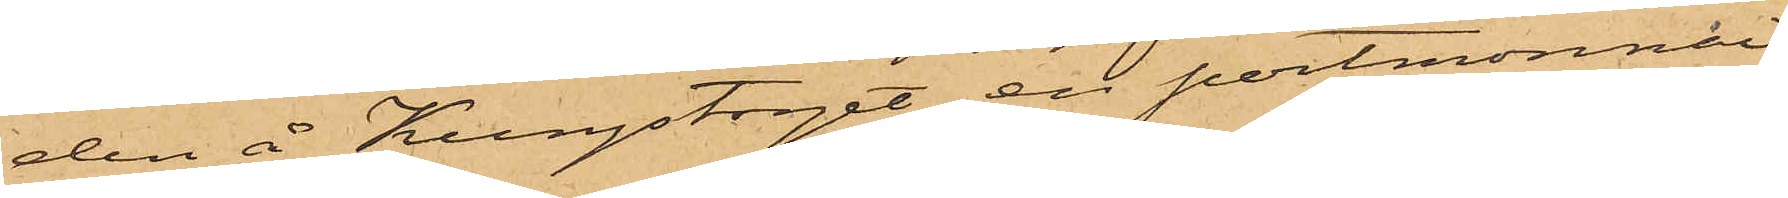den å Kungstorget, en portmonnai
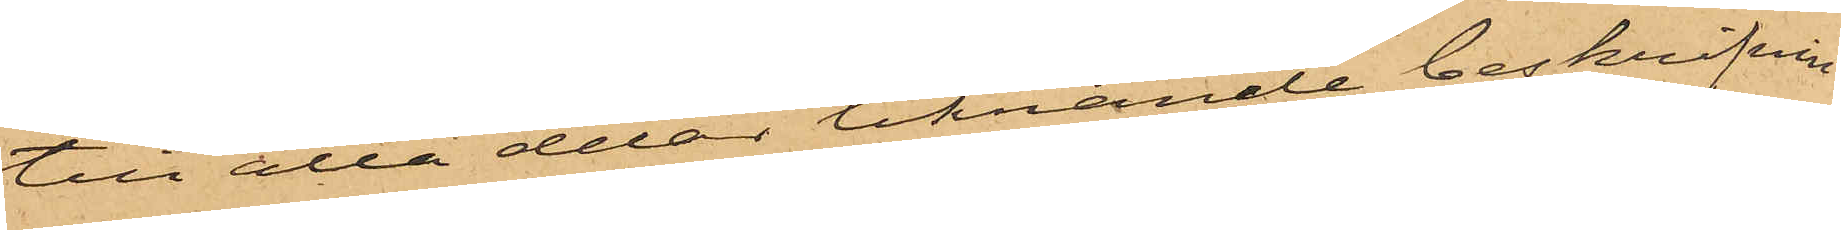till alla delar liknande beskrifvnin¬
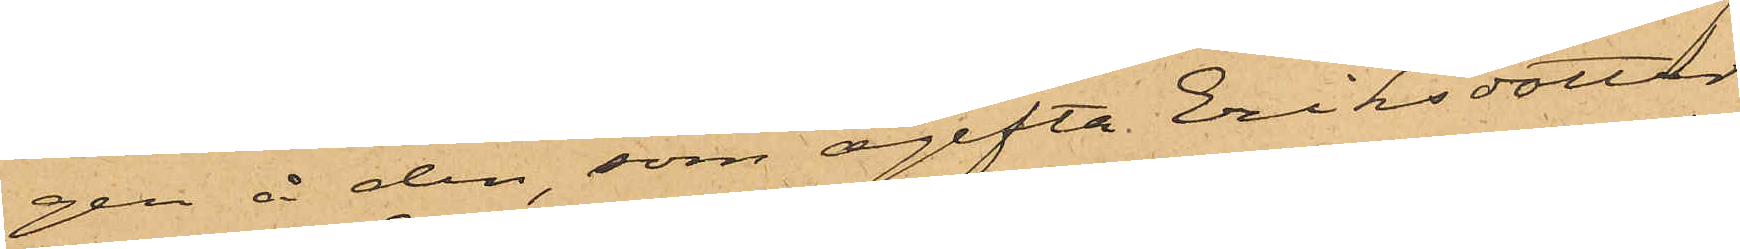gen å den som ogifta Eriksdotter
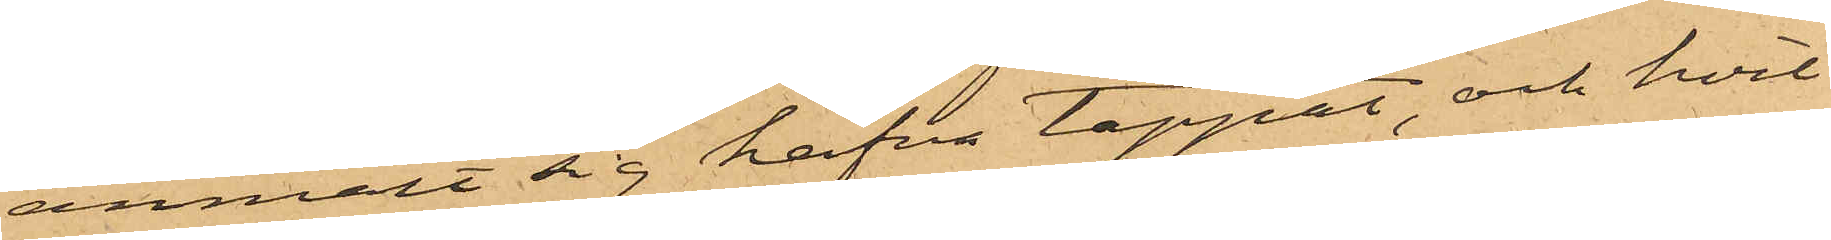anmält sig hafva tappat och hvil¬
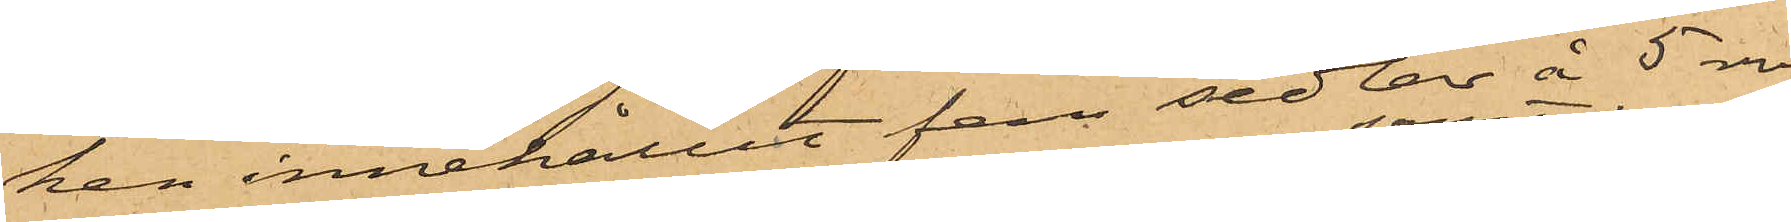kan innehållit fem sedlar å 5 rdr
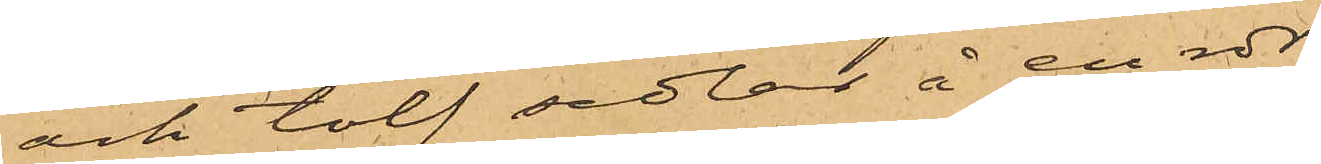och tolf sedlar å en rdr;
